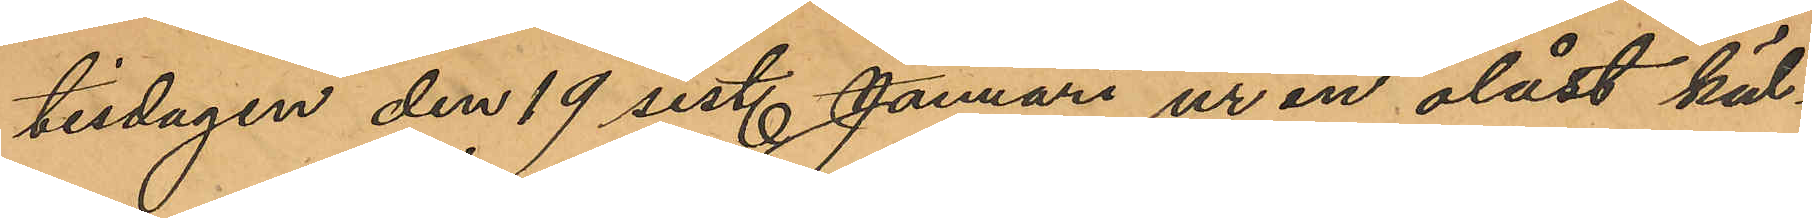tisdagen den 19 sist. Januari ur en olåst käl¬
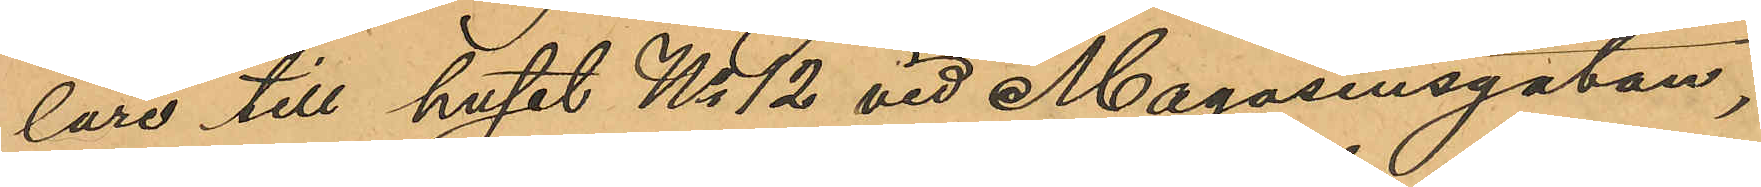lare till huset No 12 vid Magasinsgatan,
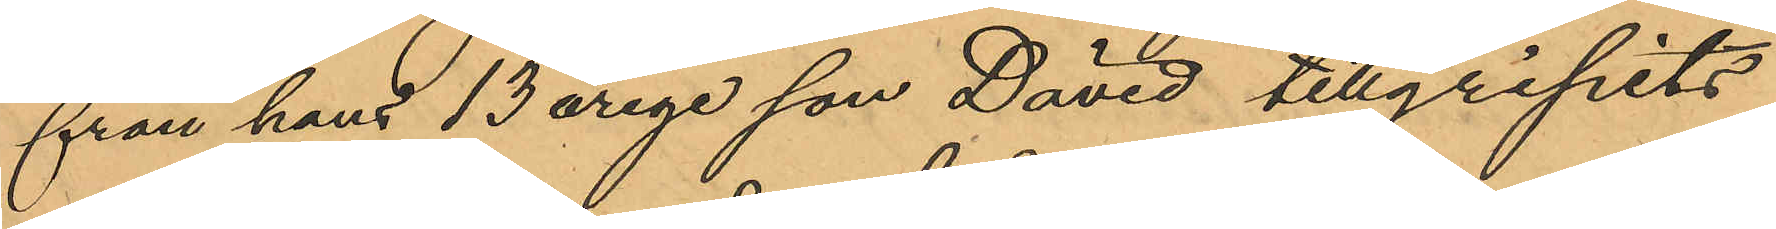från hans 13 årige son David tillgripits
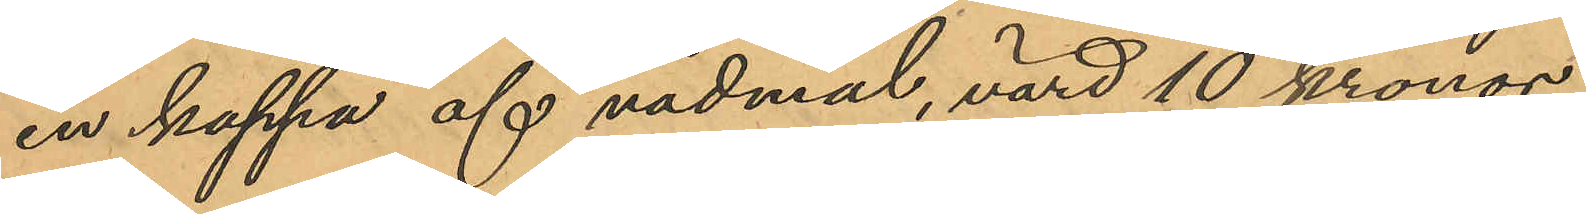en kappa af vadmal, värd 10 kronor;
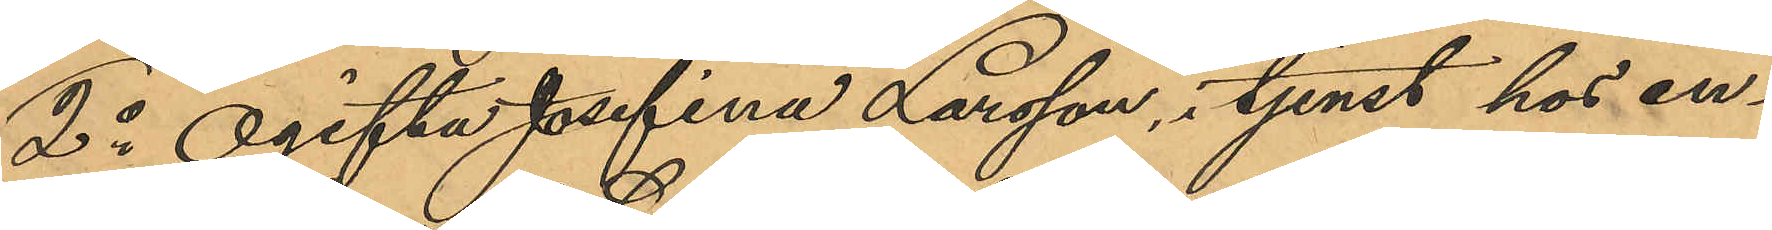2o Ogifta Josefina Larsson, i tjenst hos en¬
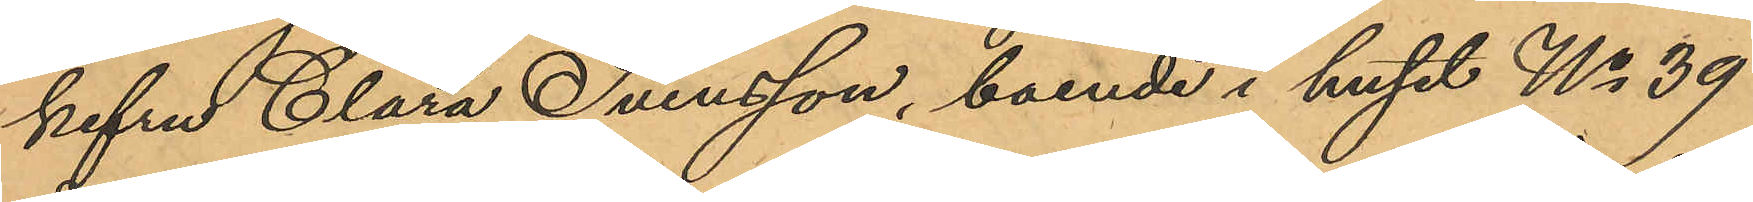kefru Clara Svensson, boende i huset No 39
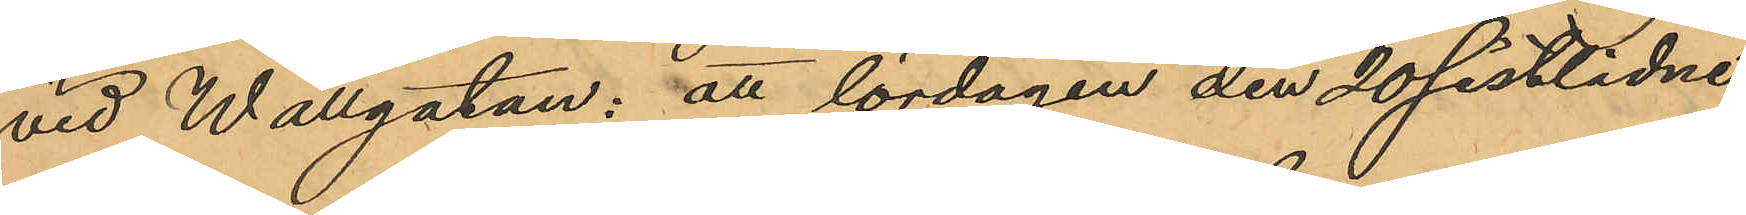vid Wallgatan: att lördagen den 20 sistlidne
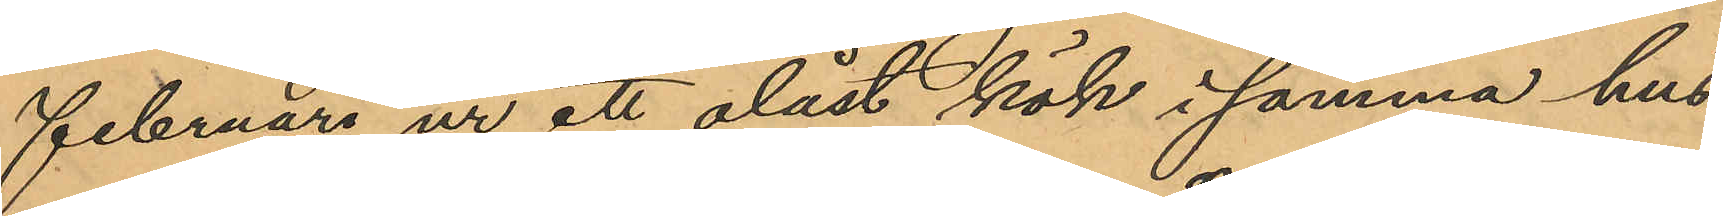Februari ur att olåst kök i samma hus
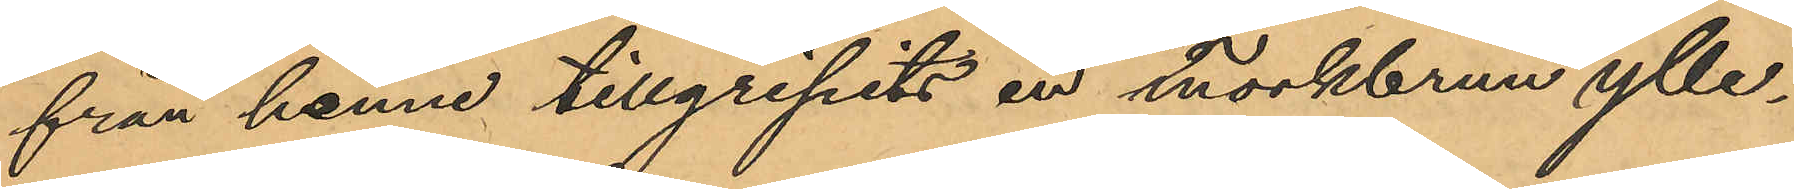från henne tillgripits en hörkbrun ylle¬
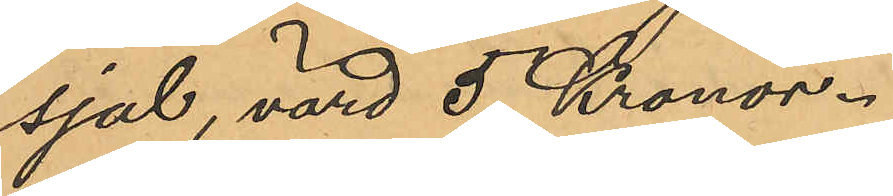sjal, värd 5 Kronor.
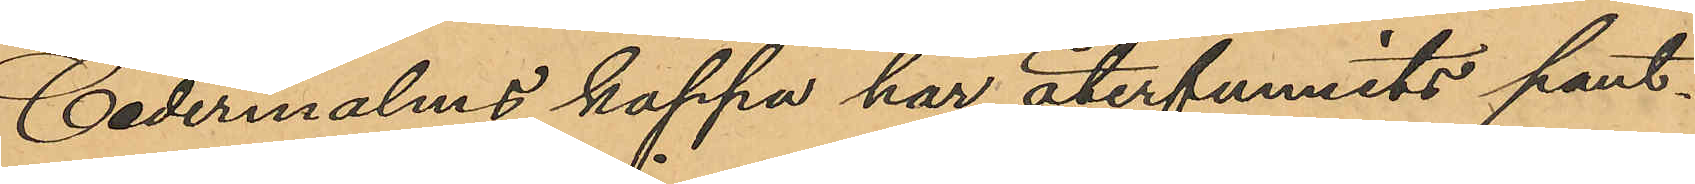Cedermalms kappa har återfunnits pant¬
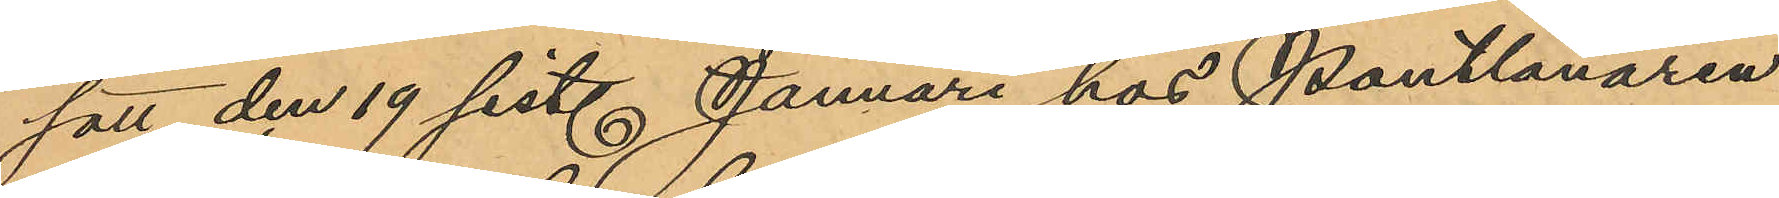satt den 19 sist. Januari hos Pantlånaren
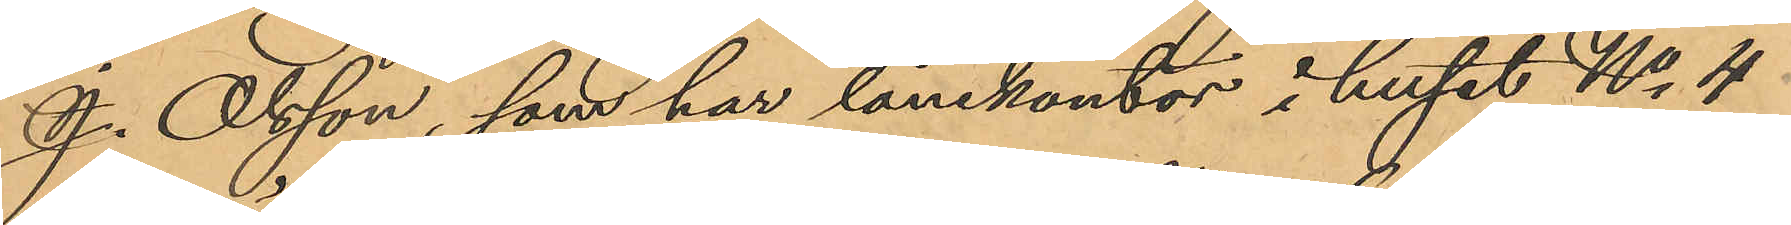J. Olsson, som har lånekontor i huset No 4
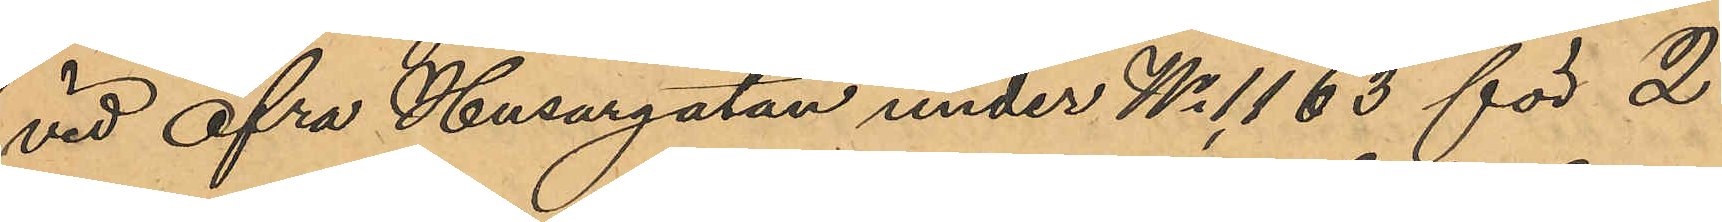vid Öfra Husargatan under No 1,163 för 2
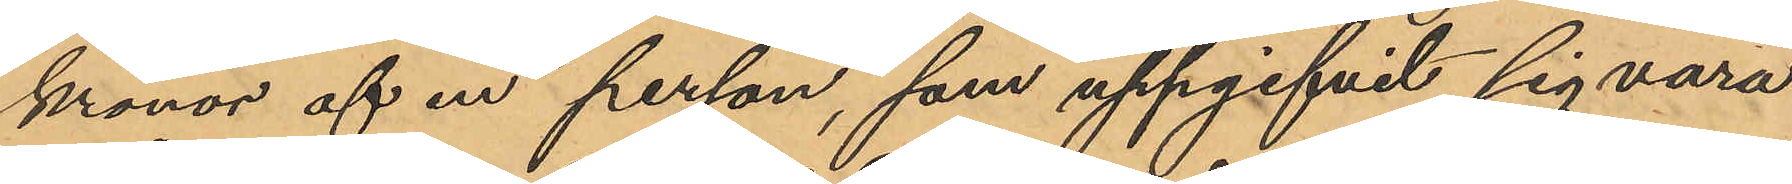kronor af en person, som uppgifvit sig vara
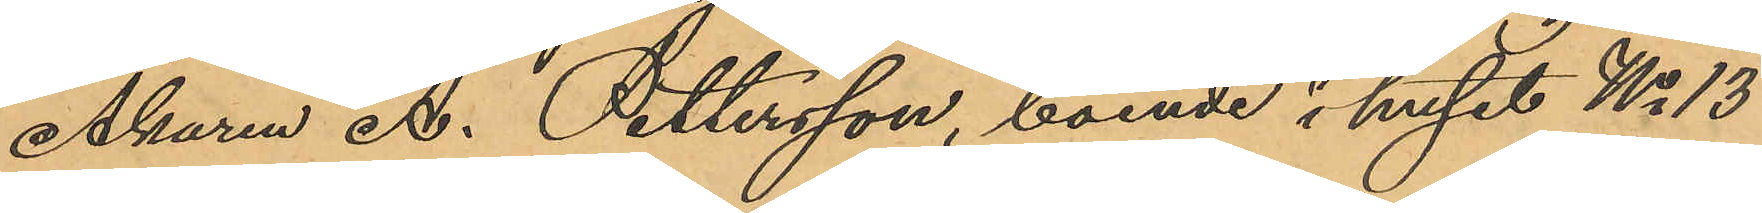Åkaren A. Pettersson, boende i huset No 13
